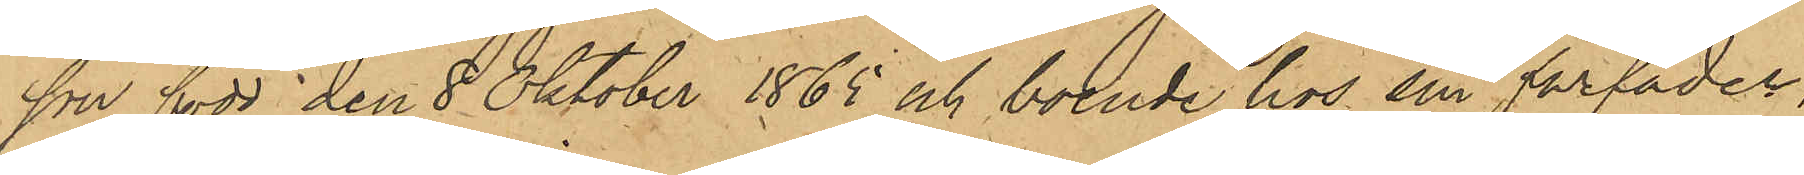son, född den 8 Oktober 1865 och boende hos sin farfader,
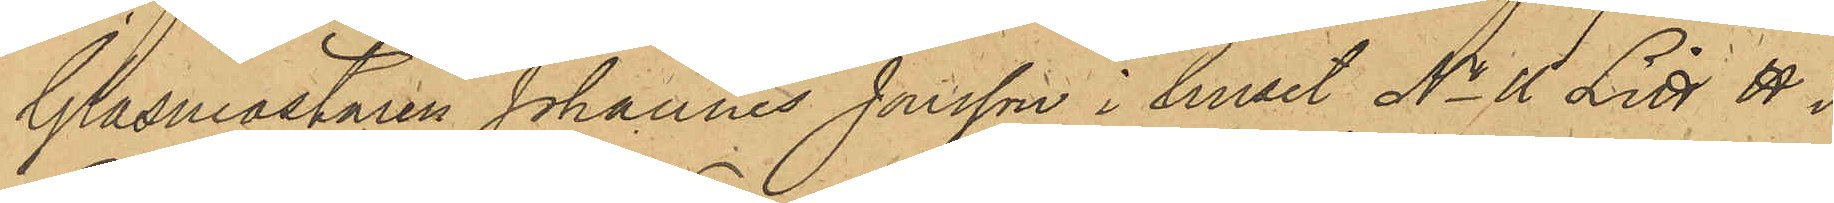Glasmästaren Johannes Jonsson i huset No 11 Litt H i
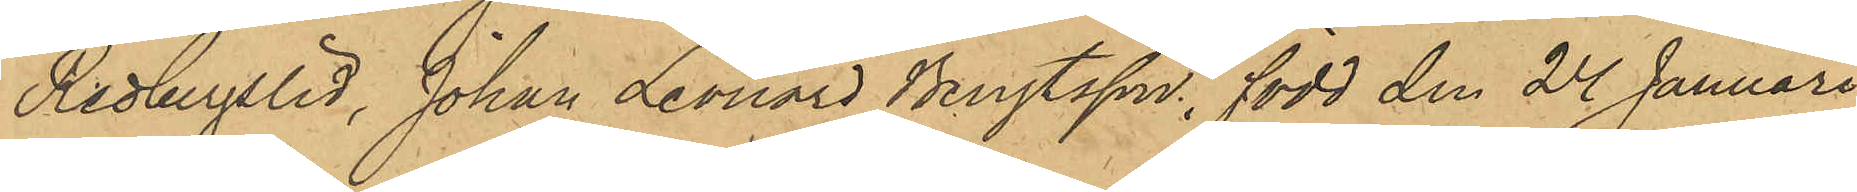Redbergslid, Johan Leonard Bengtsson, född den 24 Januari 
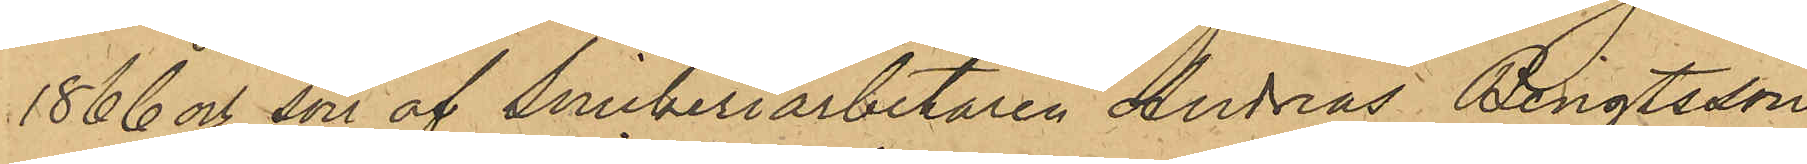1866 och son af Snickeriarbetaren Andreas Bengtsson,
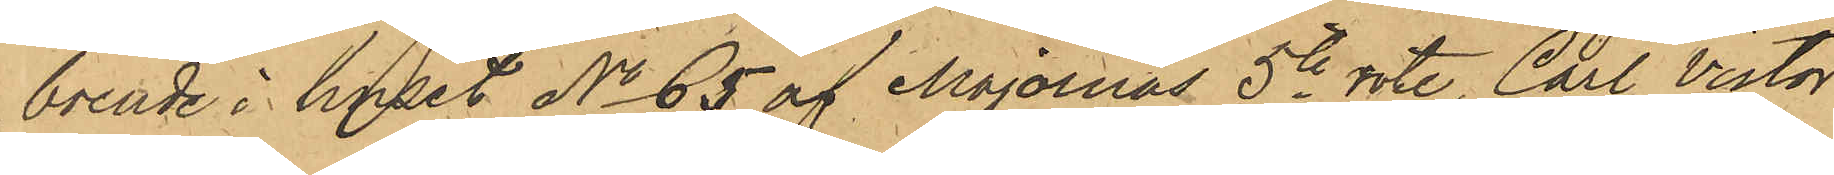boende i huset No 65 af Majornas 5te rote, Carl Victor
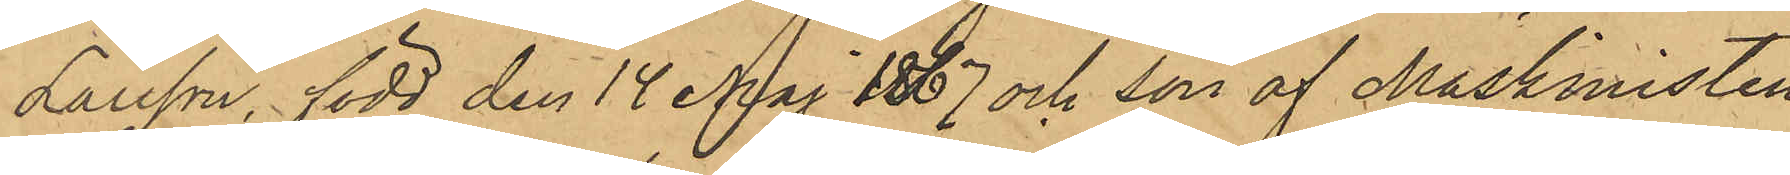Larsson, född den 14 Maj 1867 och son af Maskinisten
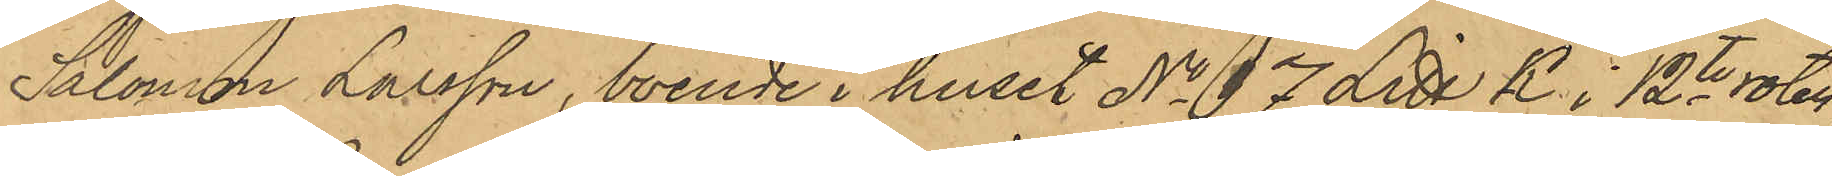Salomon Larsson, boende i huset No 17 Litt K i 12te roten,
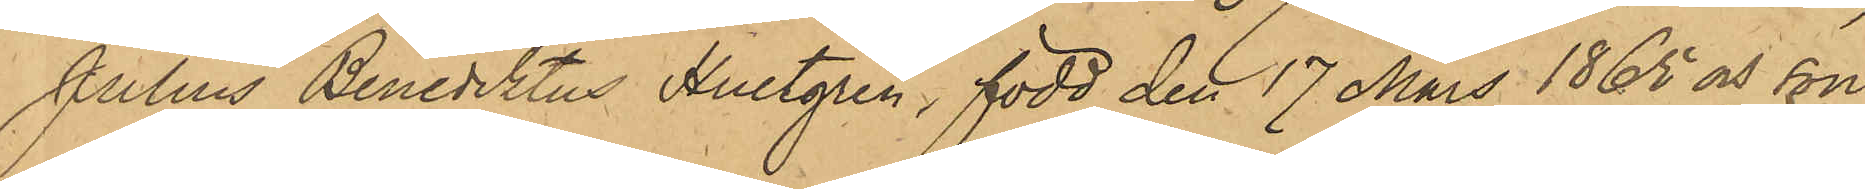Julius Benediktus Hultgren, född den 17 Mars 1865 och son
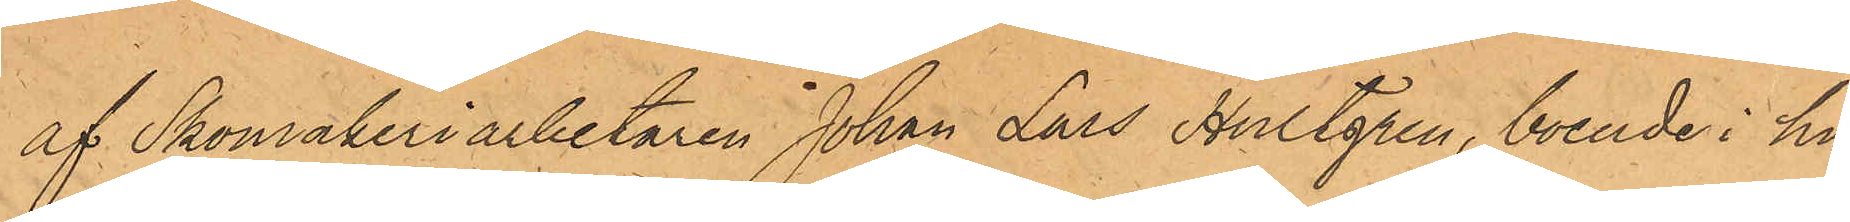af Skomakeriarbetaren Johan Lars Hultgren, boende i hu¬
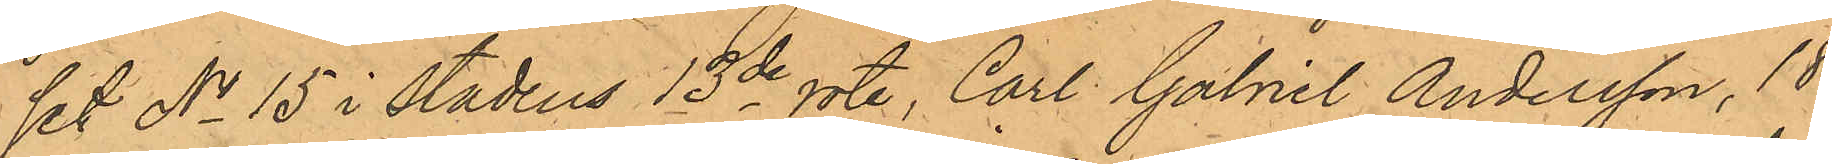set No 15 i Stadens 13de rote, Carl Gabriel Andersson, 18
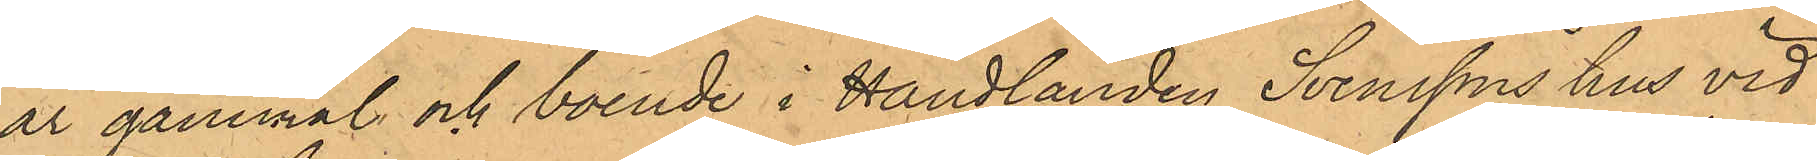år gammal och boende i Handlanden Svenssons hus vid
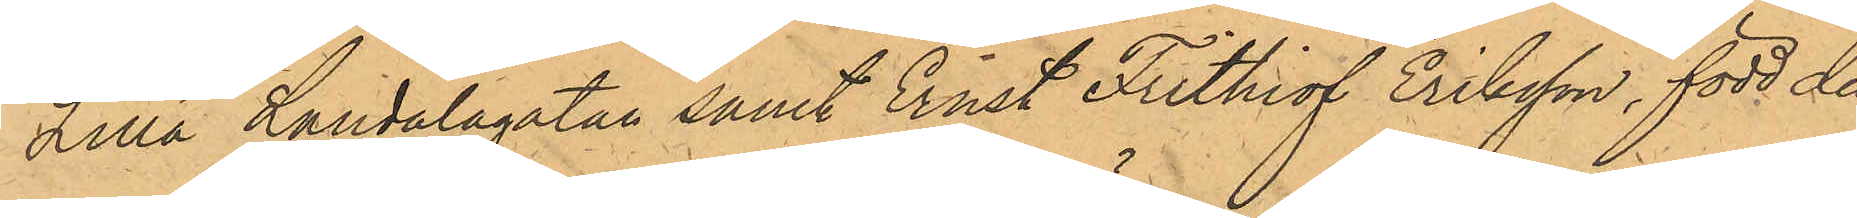Lilla Landalagatan samt Ernst Frithiof Eriksson, född den
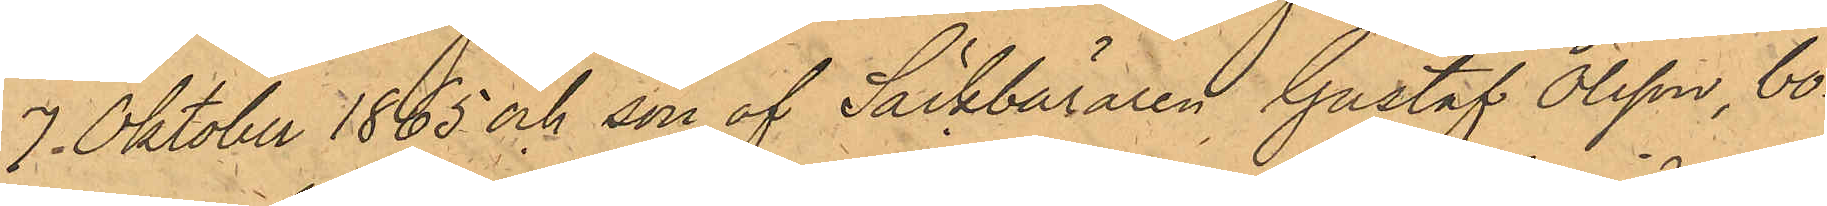7. Oktober 1865 och son af Säckbäraren Gustaf Olsson, bo¬
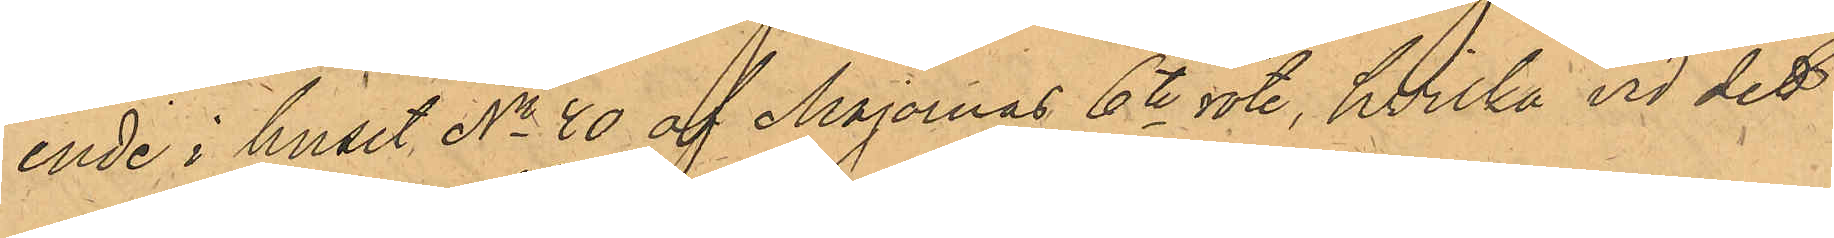ende i huset No 40 af Majornas 6te rote, hvilka vid det
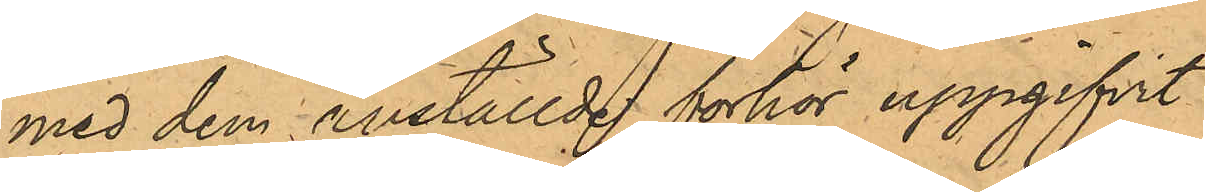med dem anställde förhör uppgifvit:
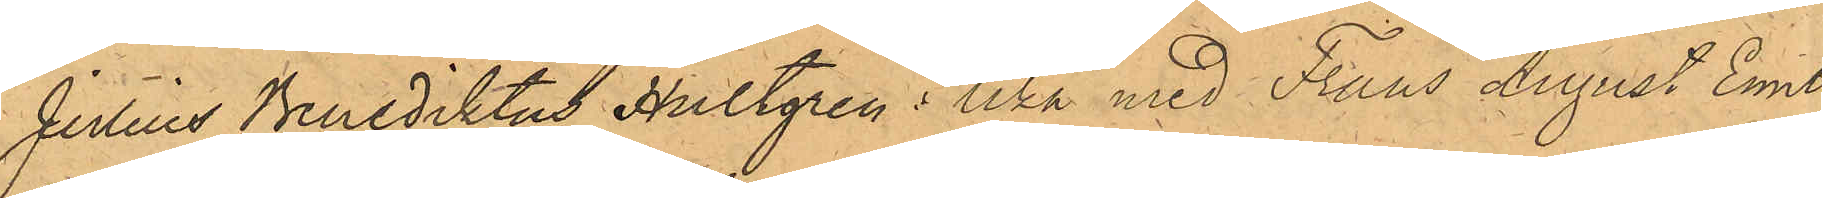Julius Benediktus Hultgren: lika med Frans August Emil
